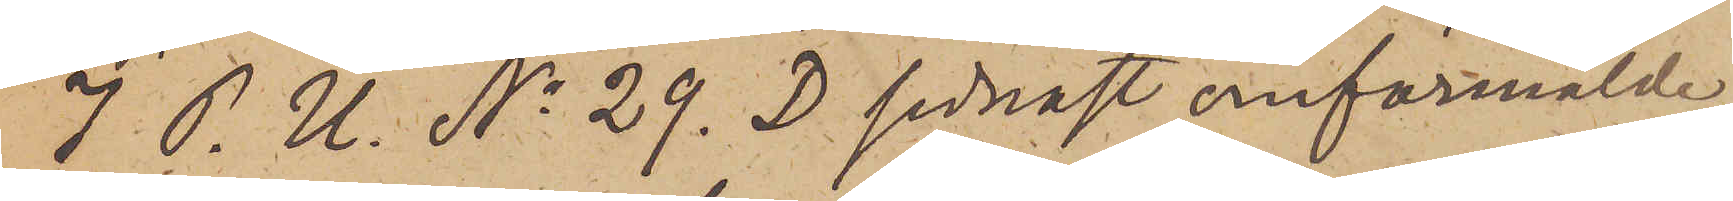I. P. U. No 29. D sednast omförmälde
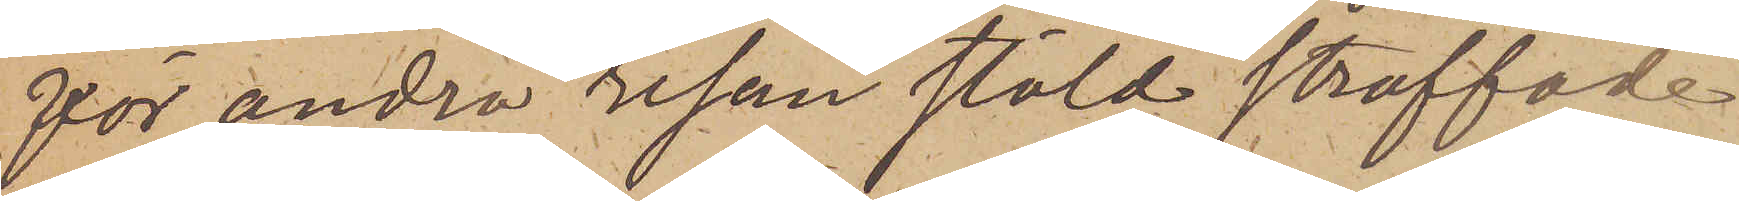för andra resan stöld straffade
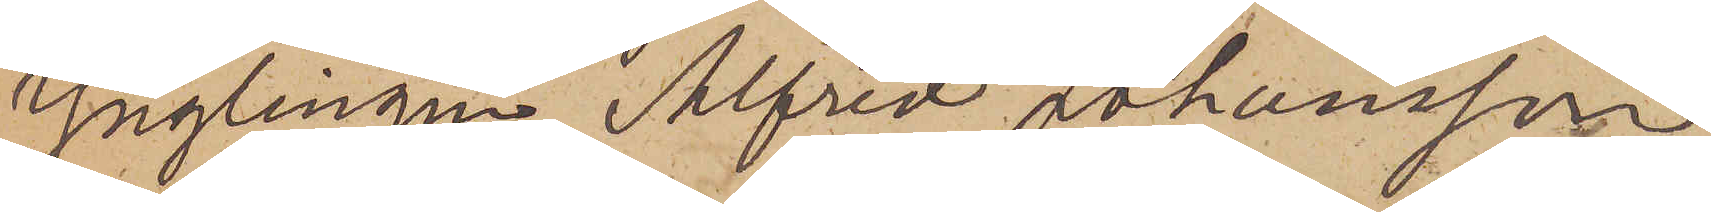Ynglingen Alfred Johansson
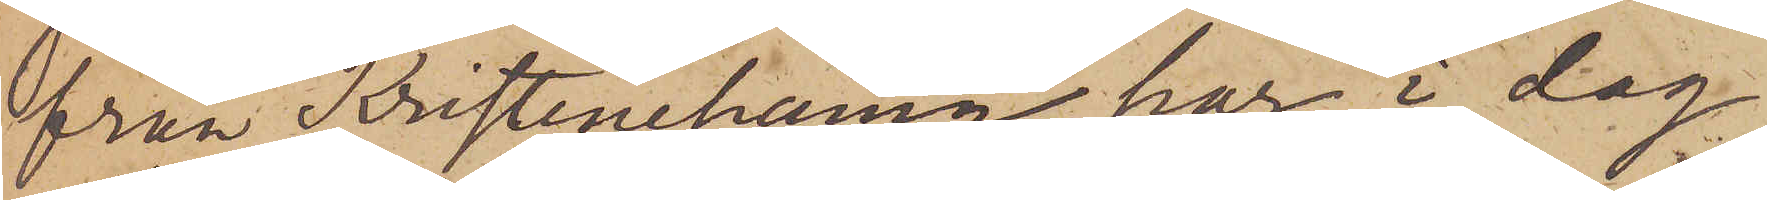från Kristinehamn har i dag
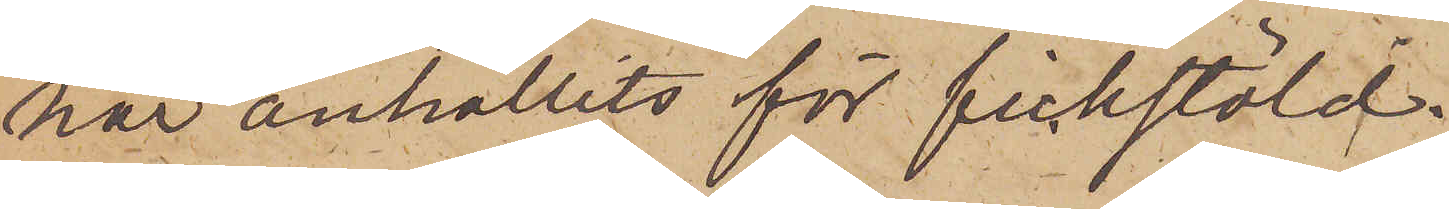här anhållits för fickstöld.
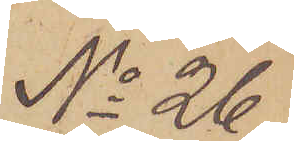No 26.
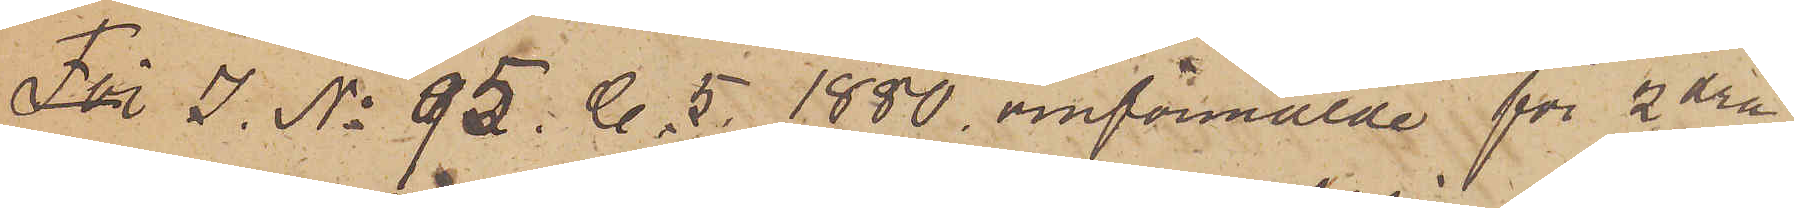För I. No 95. C. 5. 1880. omförmälde för 2dra
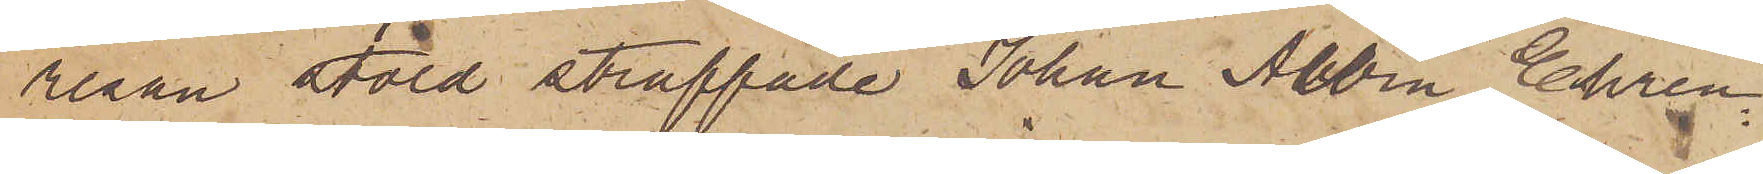resan stöld straffade Johan Albin Ehren¬
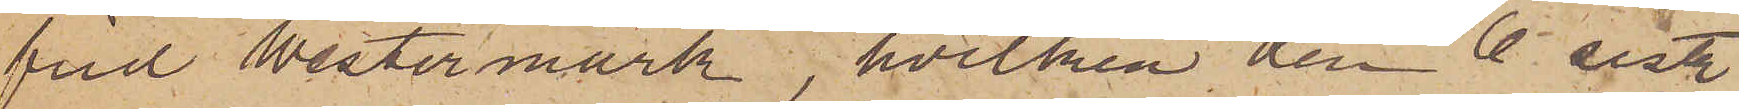frid Westermark, hvilken den 6 sistl.
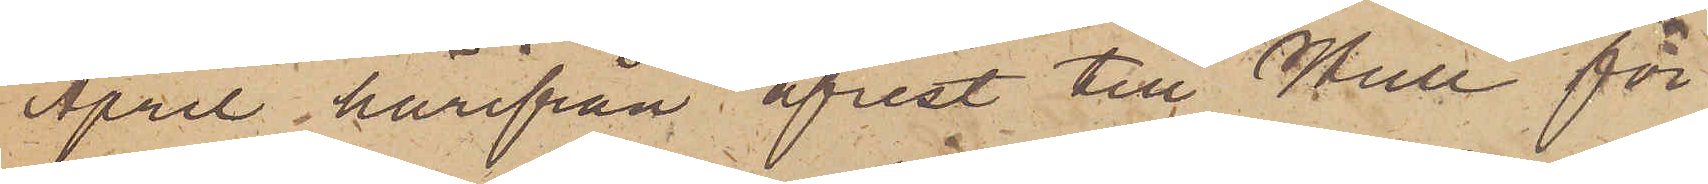April härifrån afrest till Hull för
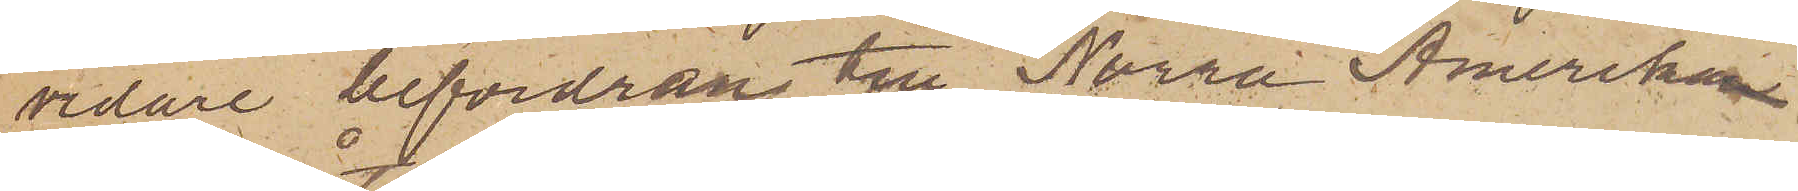vidare befordran till Norra Amerika
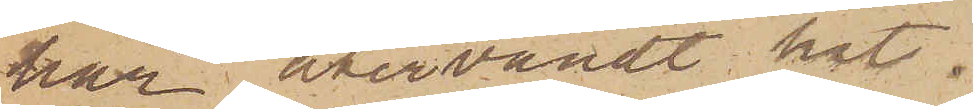har återvändt hit.
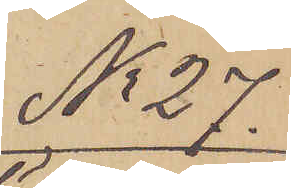No 27.
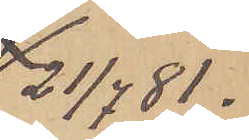21/7  81.
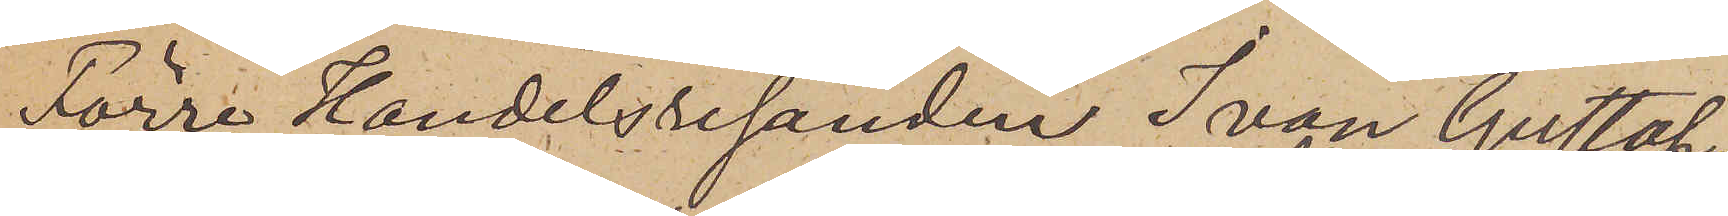Förre Handelsresanden Ivan Gustaf
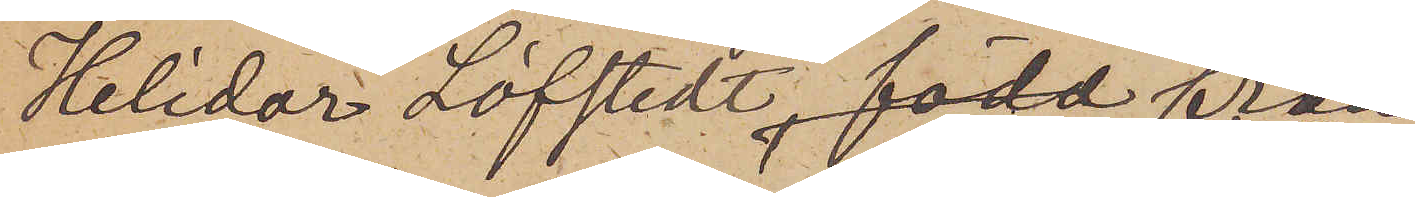Helidor Löfstedt, född från
